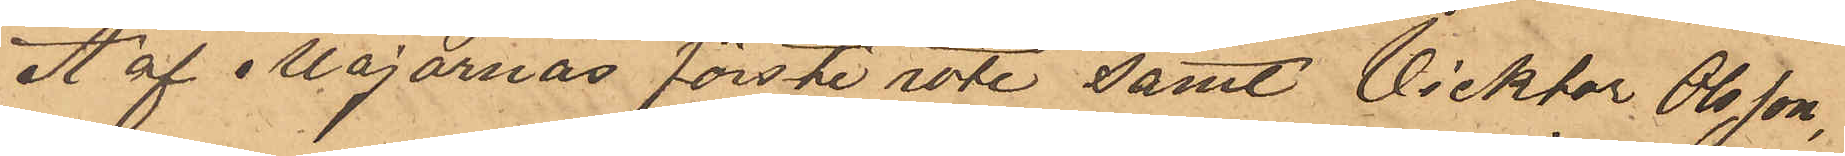A af Majornas förste rote samt Vicktor Olsson,
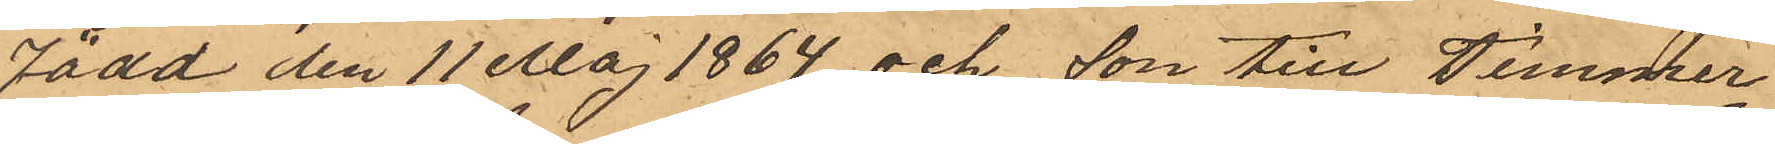född den 11 Maj 1864 och son till Timmer¬
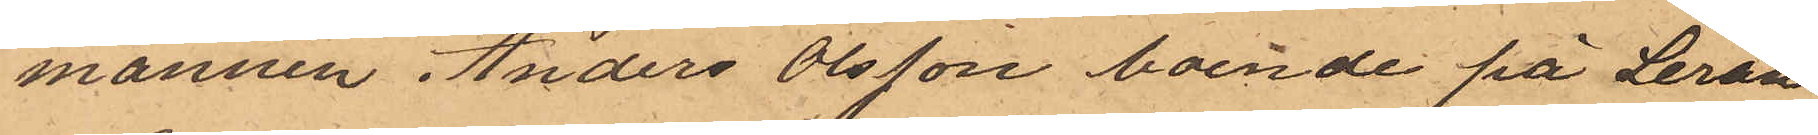mannen Anders Olsson boende på Leran
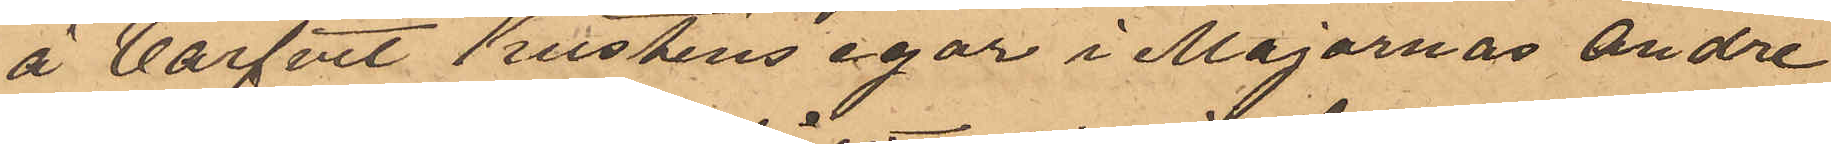å Varfvet Kustens egor i Majornas andre
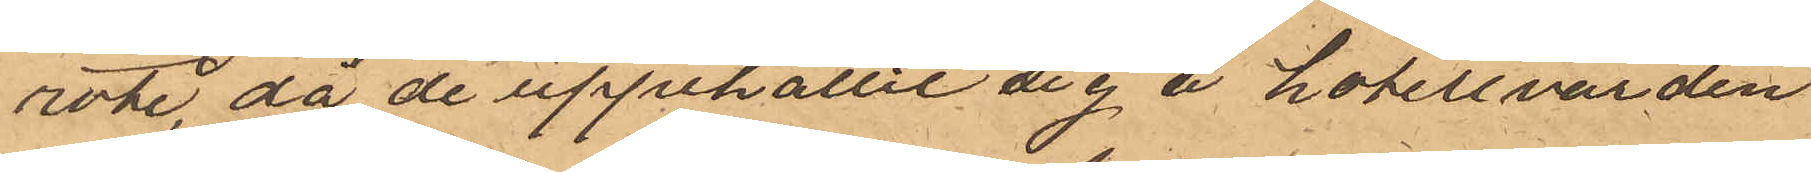rote, då de uppehållit sig å hotellvärden
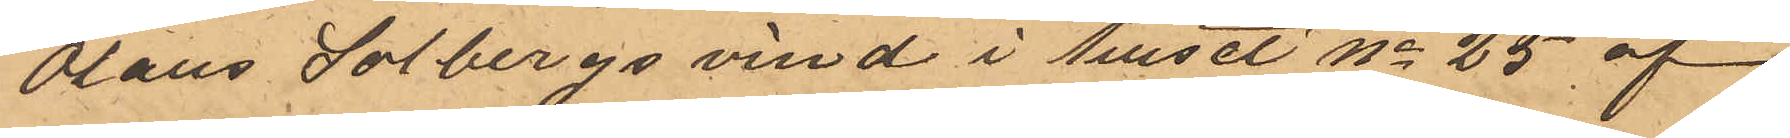Olaus Solbergs vind i huset No 25 af
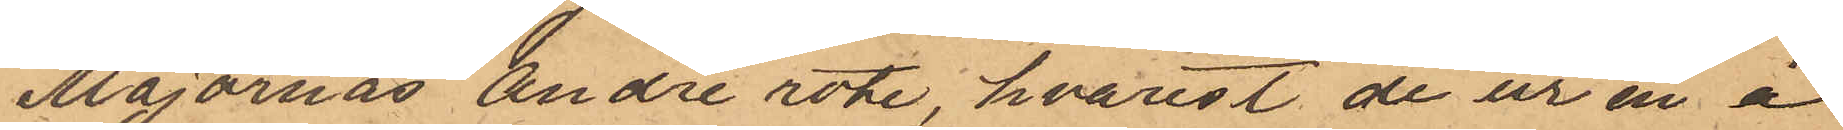Majornas Andre rote, hvarest de ur en å
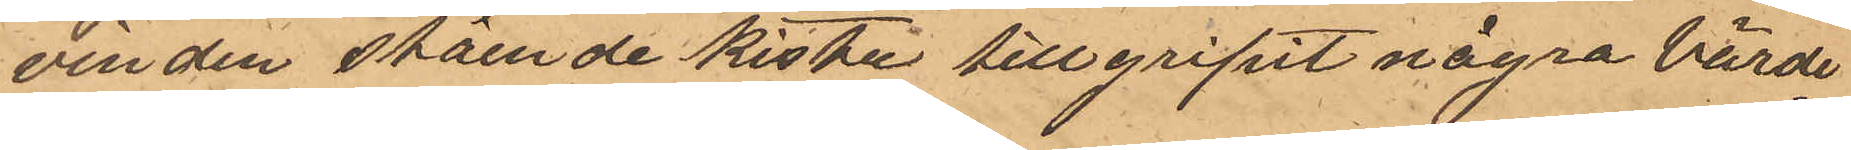vinden stående kista tillgripit några värde¬
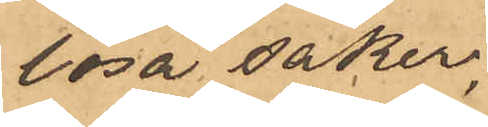lösa saker,
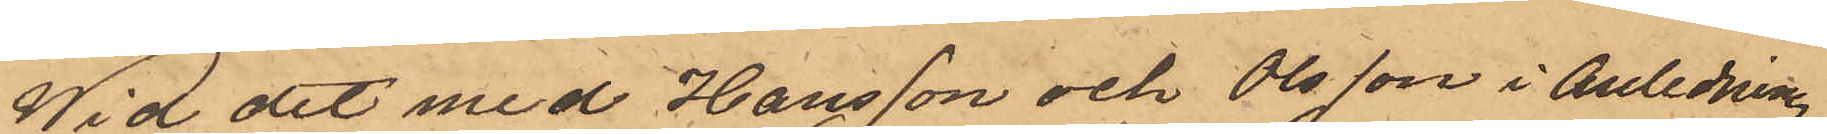Wid det med Hansson och Olsson i anledning
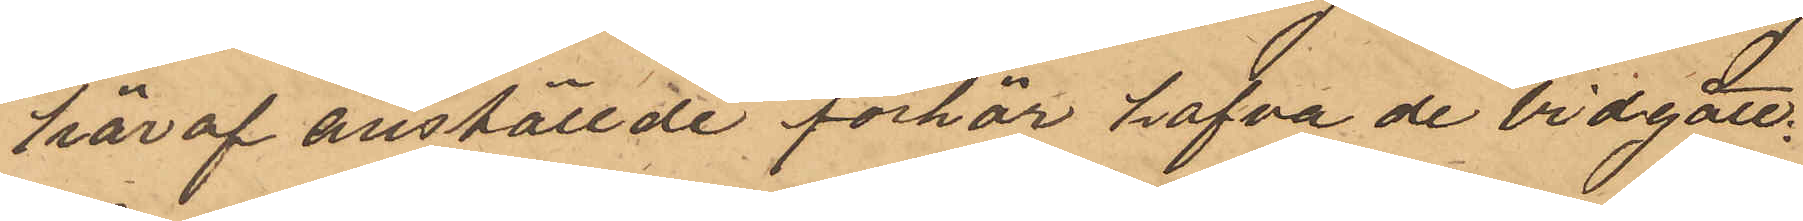häraf anställde förhör hafva de vidgått.
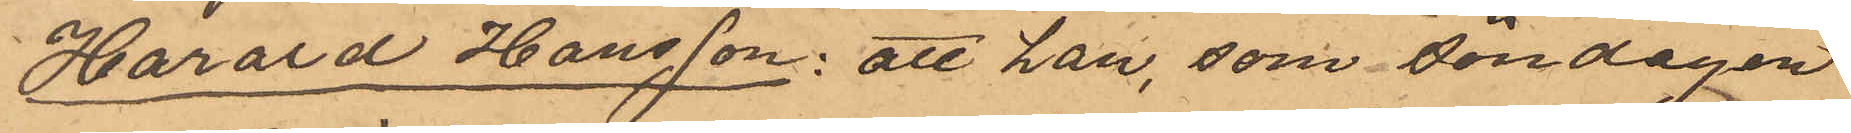Harald Hansson: att han, som söndagen
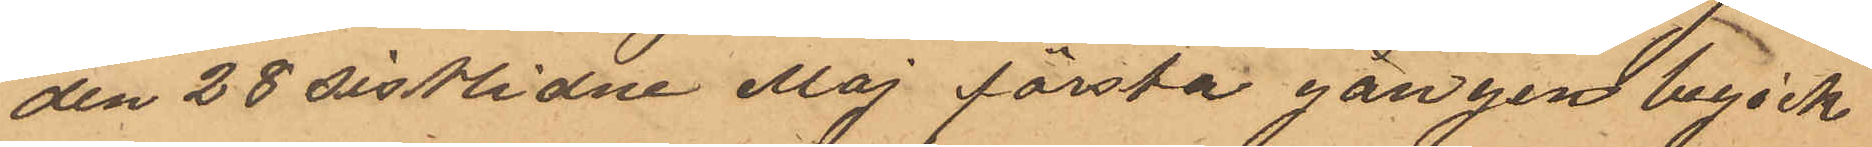den 28 sistlidne Maj första gången begick
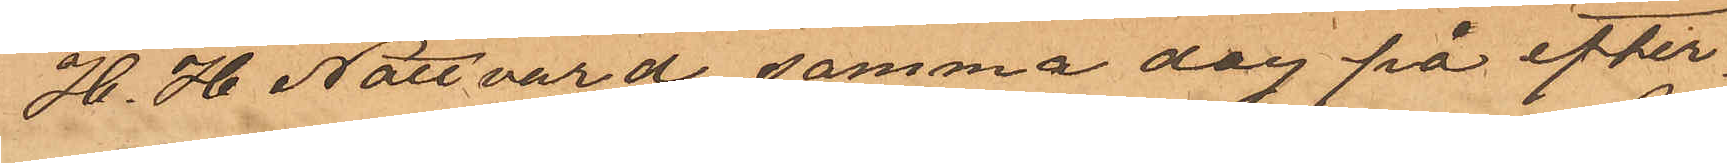H. H. Nattvard, samma dag på efter
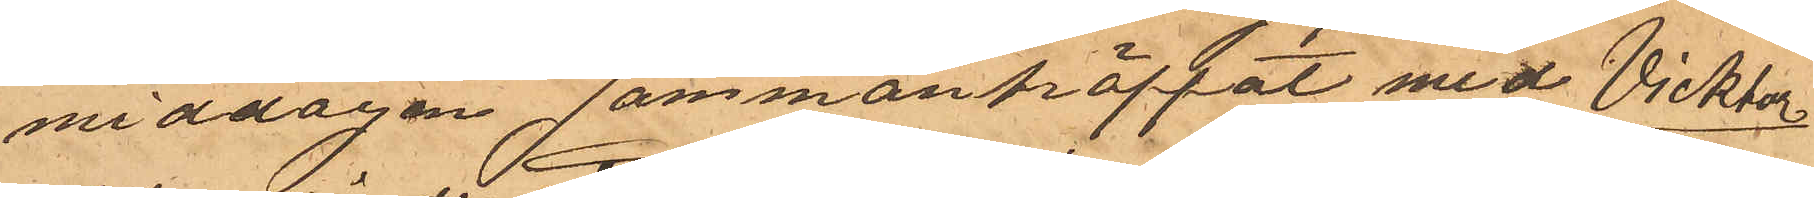middagen sammanträffat med Vicktor
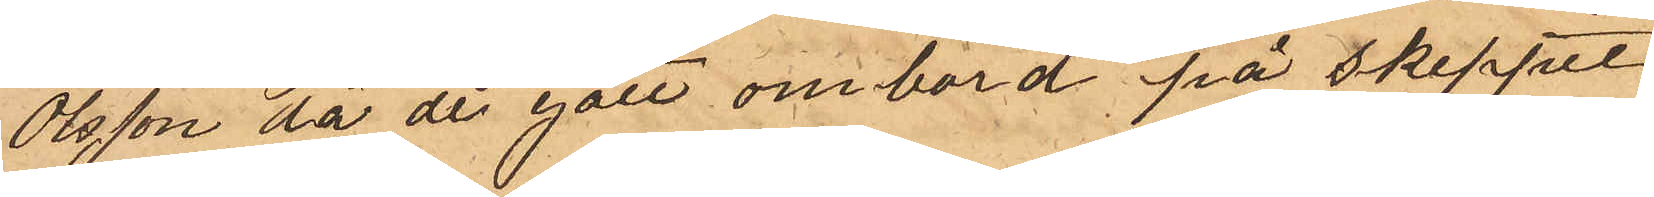Olsson då de gått ombord på Skeppet
